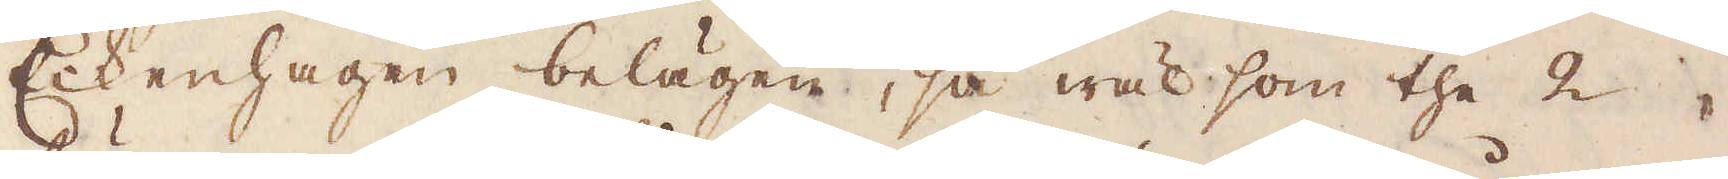Eckenhagen belägen, så wäl som the 2
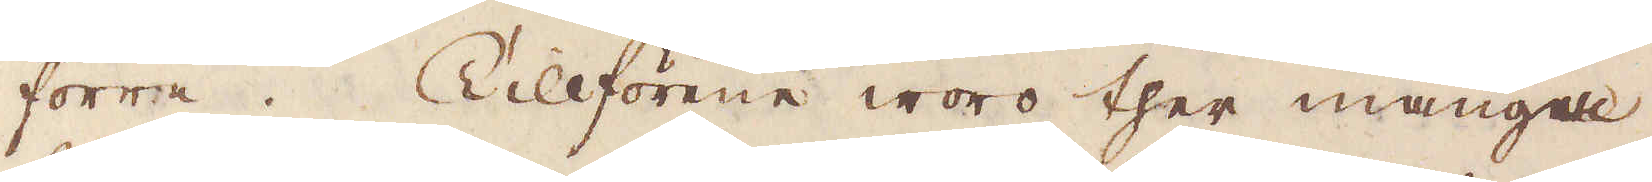förra. Tillförene woro ther månge,
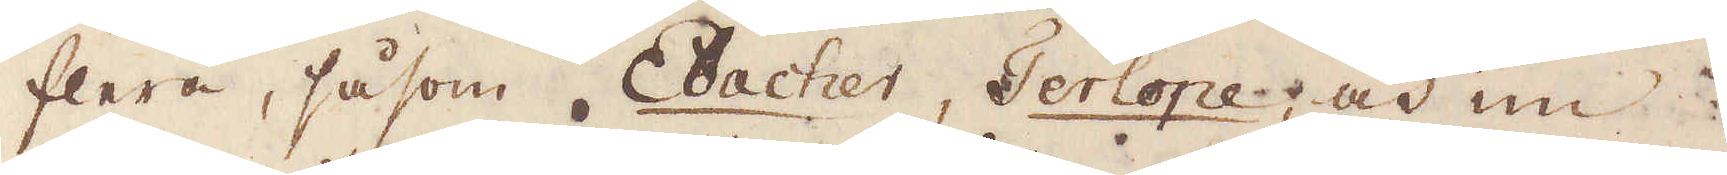flera, såsom Ebacher, Terlope, och im
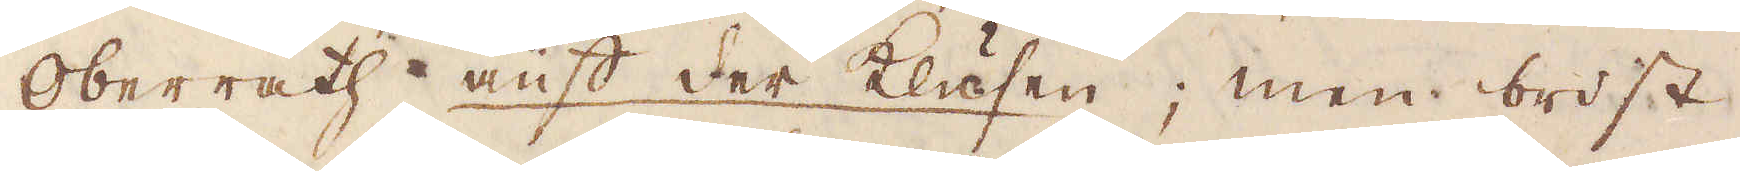Oberrath-aüft der klusen; men brist
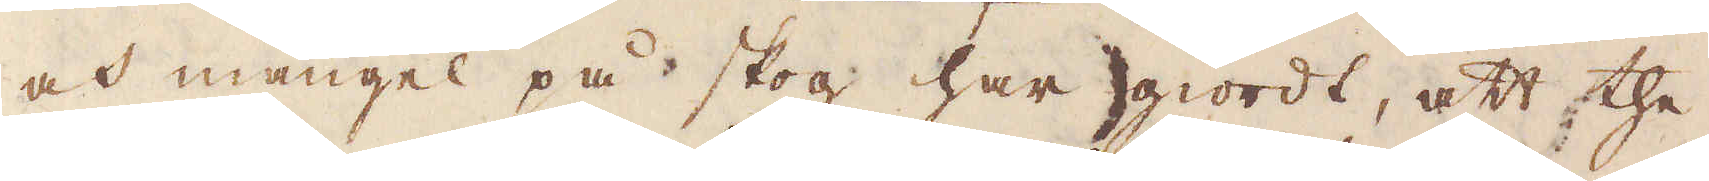och mangel på skog har giordt, att the
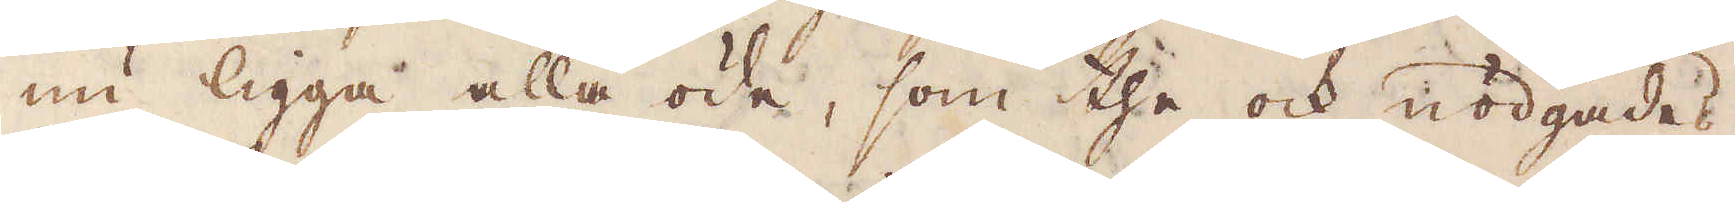nu ligga alla öde, som the och nödgades
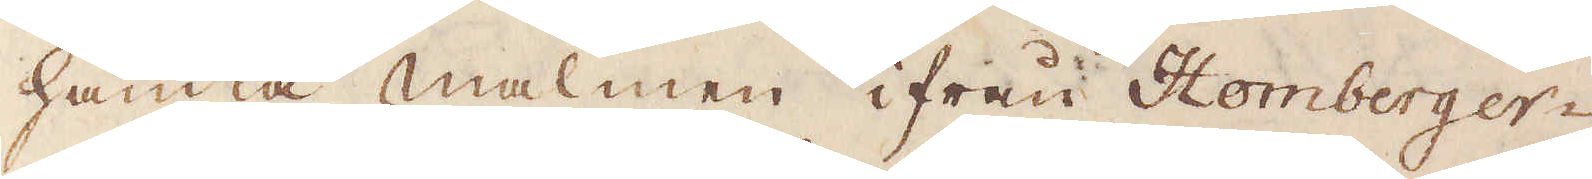hämta malmen ifrån Homberger-
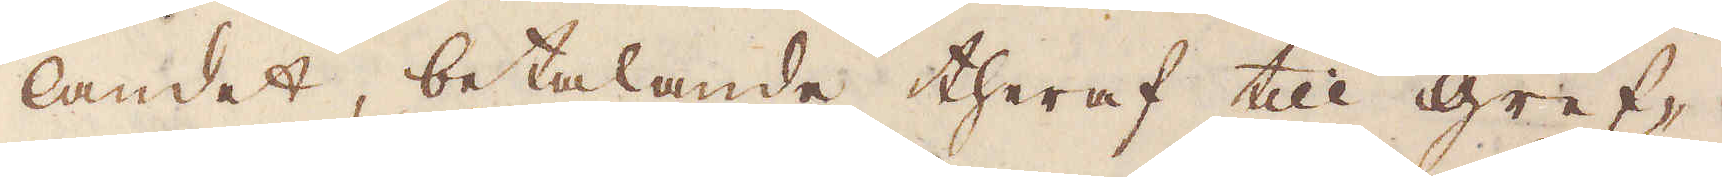landet, betalande theraf till gref-
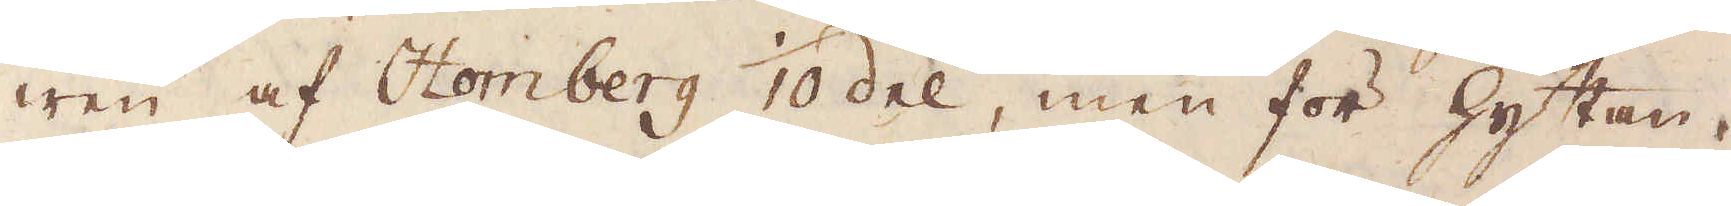wen af Homberg 1/10 del, men för hyttan
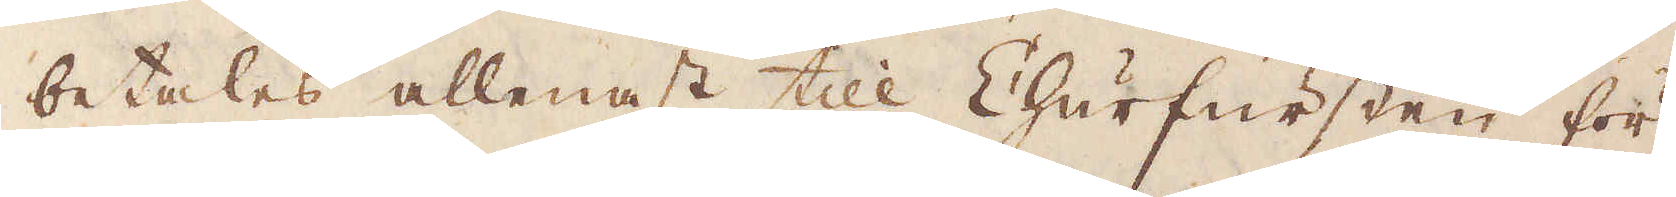betalas allenast till Churfursten för
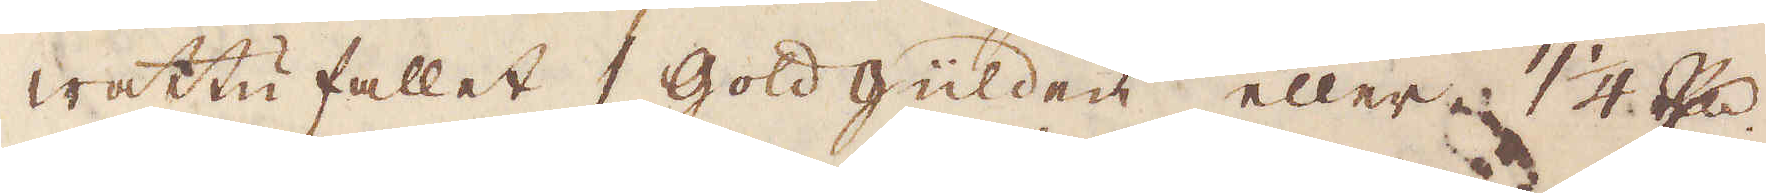wattufallet 1 Gold Güulden eller 1 1/4R:drd
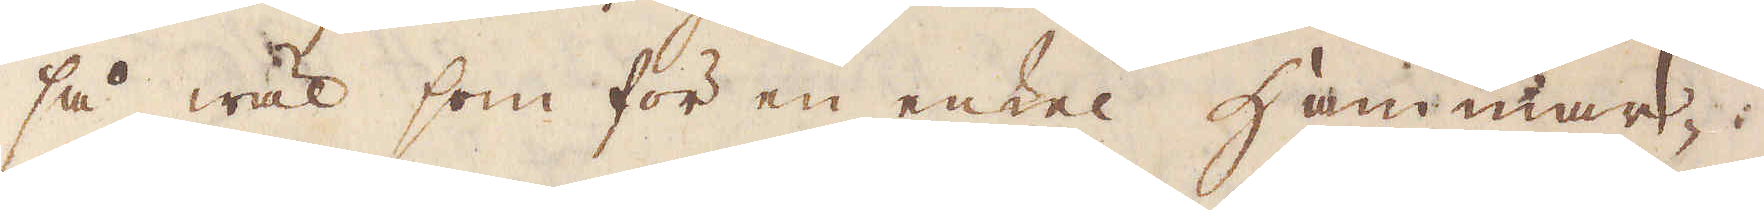så wäl som för en enkel Hammar-
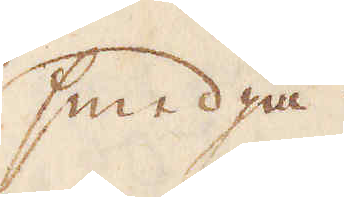smedja.
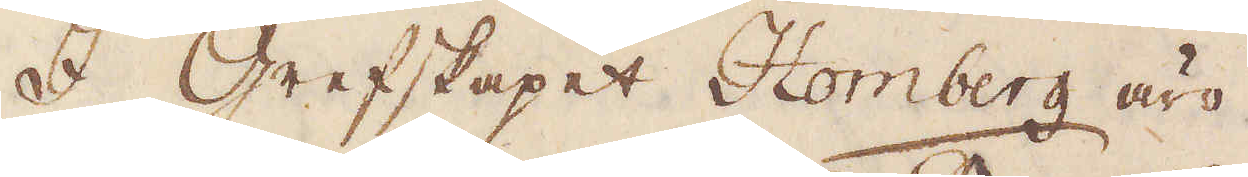I grefskapet Homberg äro
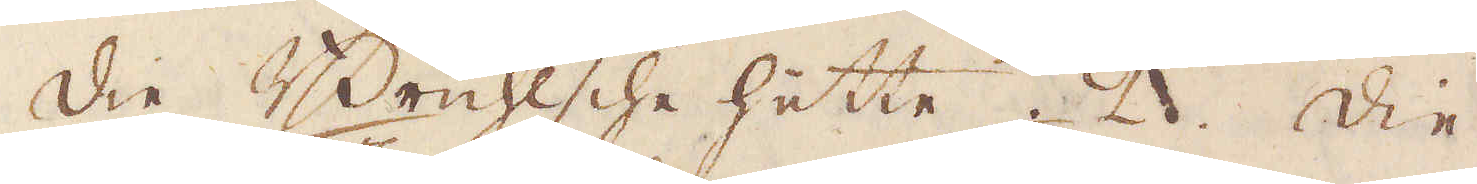die Brüichlscheü hüette 2. Die
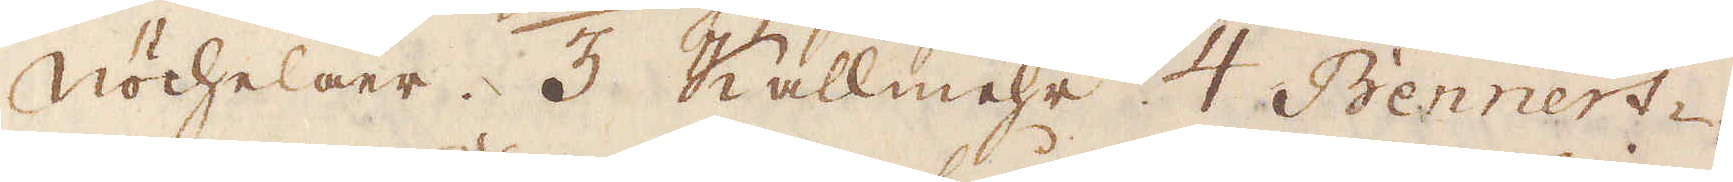Nöchelaer. 3 Kallmehr 4 Bennert-
